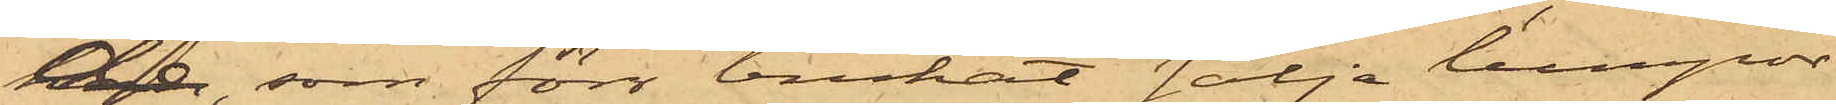de, som förr brukat sälja lumpor
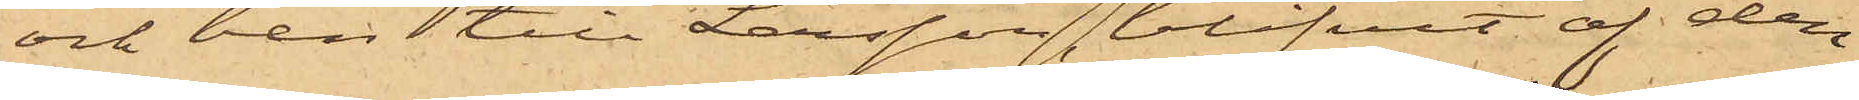och ben till Larsson, blifvit af den¬
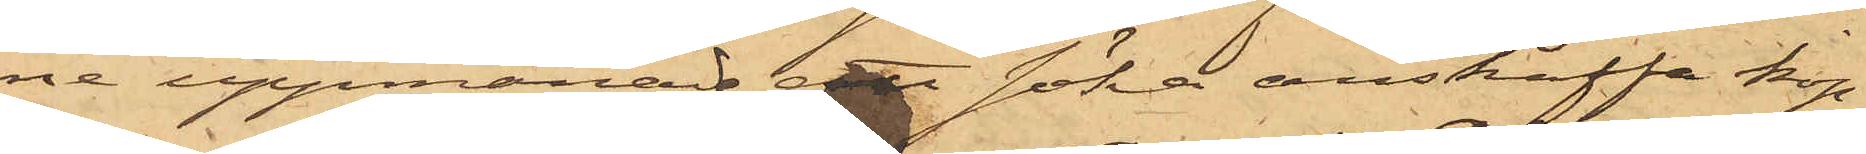ne uppmanade att söka anskaffa kop¬
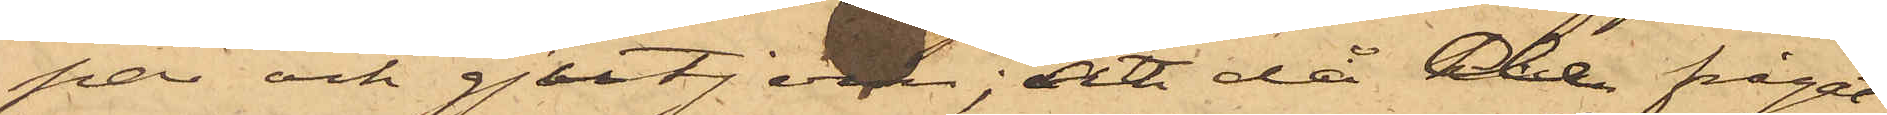par och gjutjern; att då de frågat
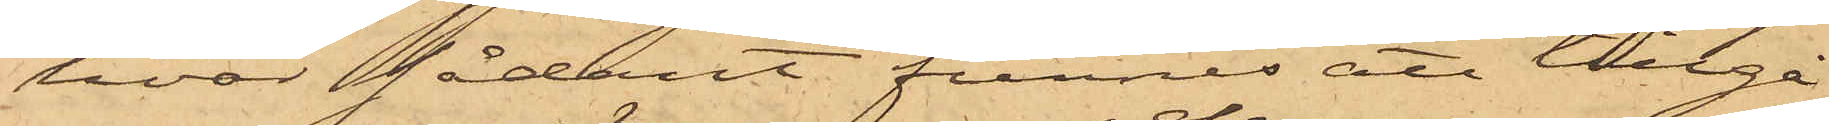hvar sådant funnes att tillgå
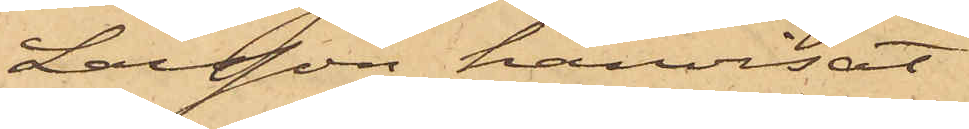Larsson hänvisat
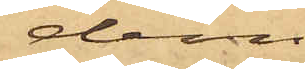dem
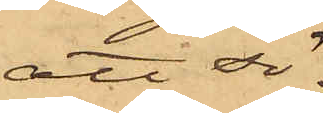att sö¬
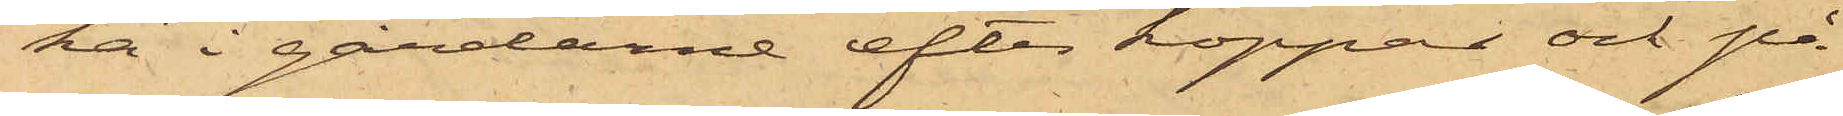ka i gårdarne efter koppar och på
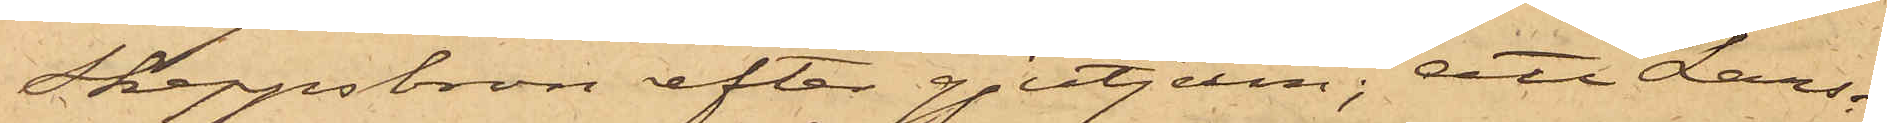Skeppsbron efter gjutjern; att Lars¬
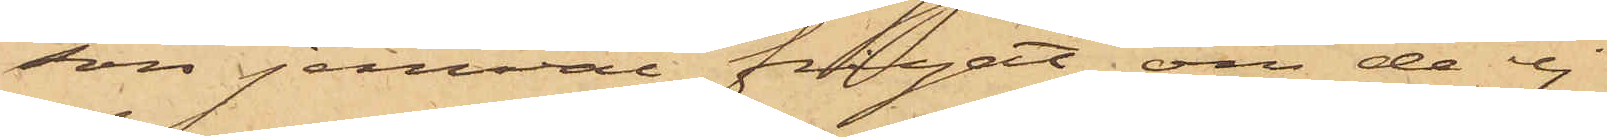son jemväl frågat om de ej
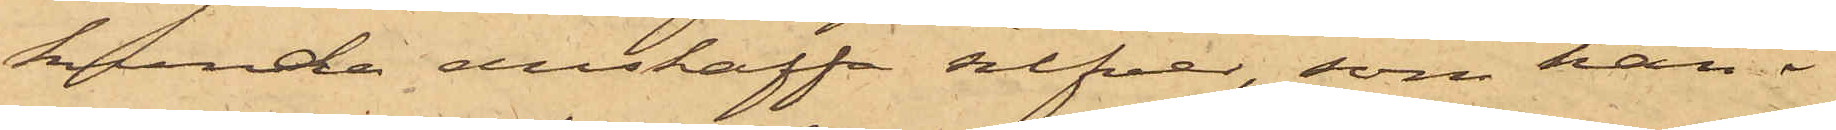kunde anskaffa silfver, som han i
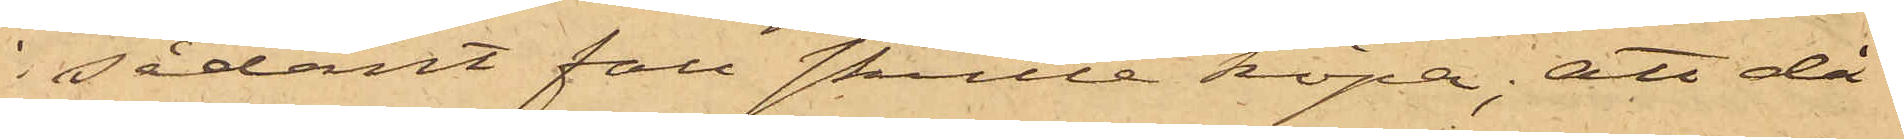sådant fall skulle köpa; att då
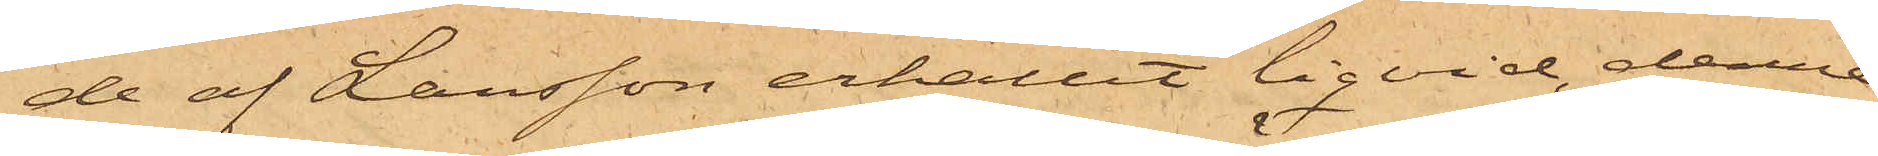de af Larsson erhållit liqvid, denne
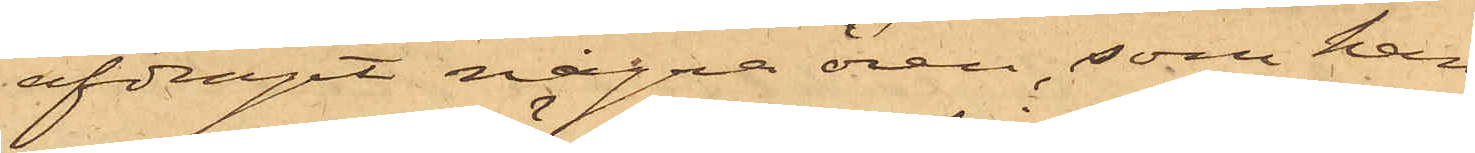afdragit några ören, som han
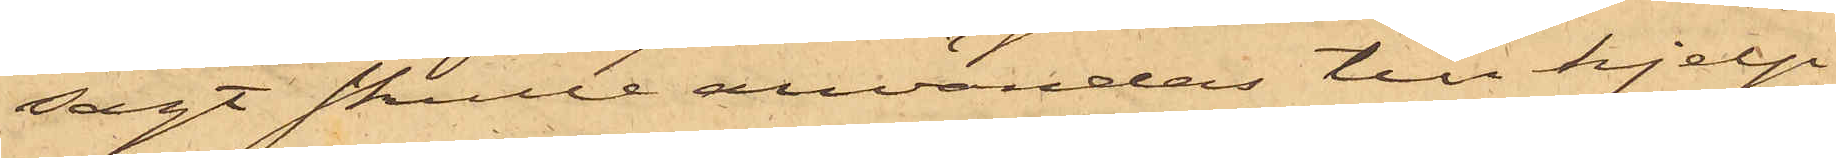sagt skulle användas till hjelp
